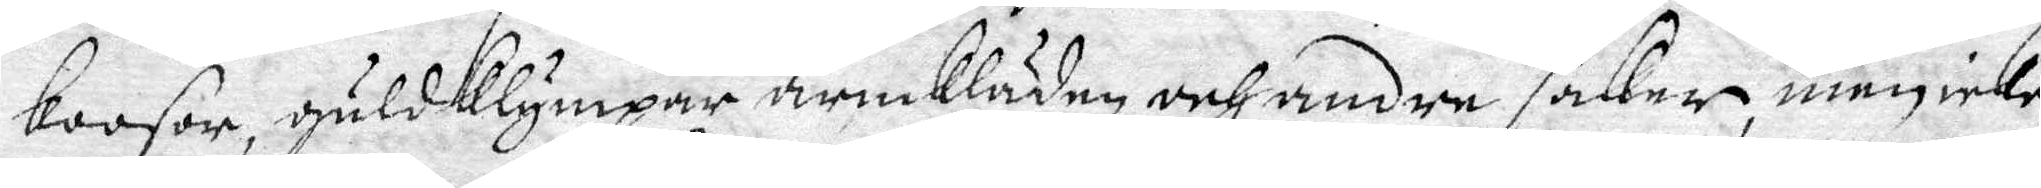koosor, guldklympar ärmkläden och andre saker, men icke
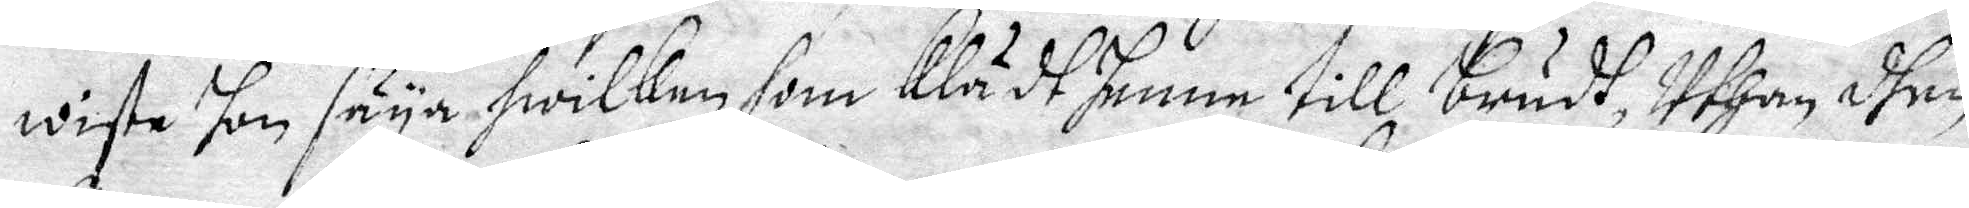wiste hon säya hwilken som klädt henne till brudh, Uthan dhen
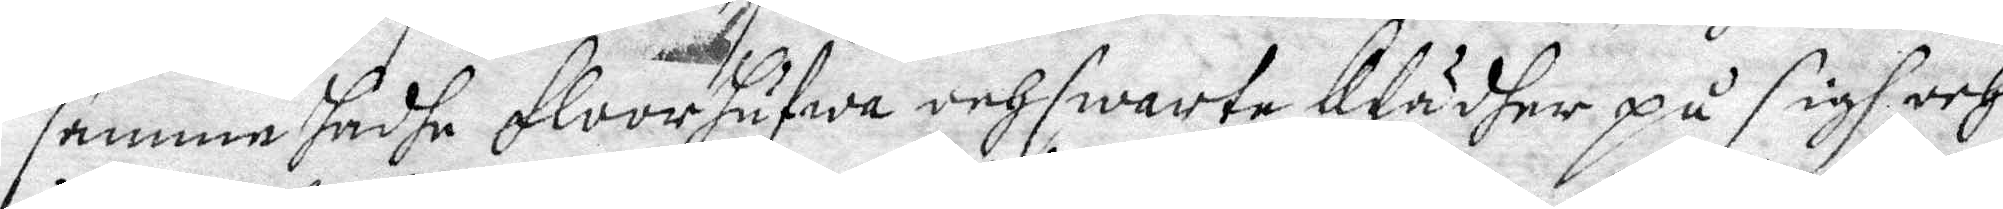samme hadhe floorhufwa och swarta klädher på sigh och
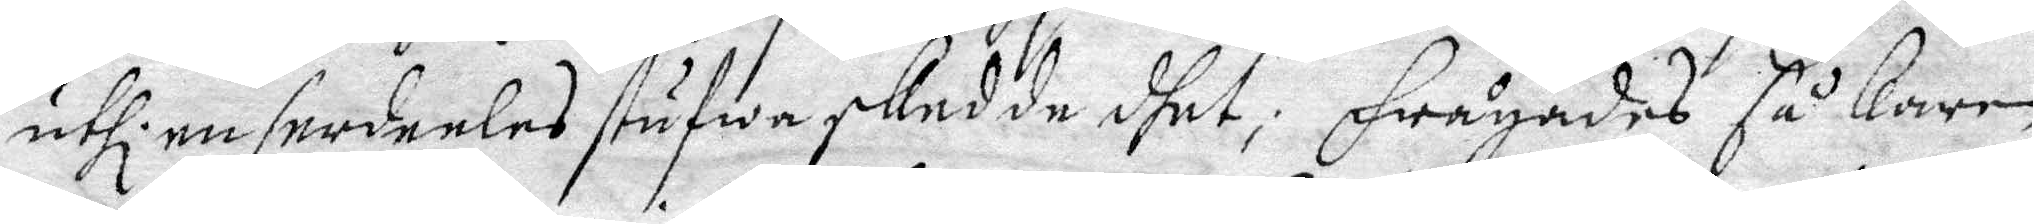uthl. en serdeeles stufwa skedde dhet; Frågandes så karen
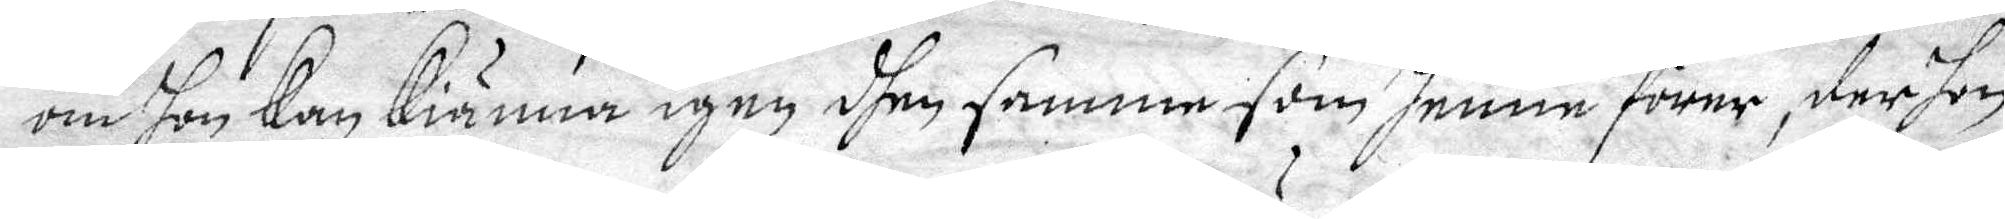om hon Kan Kiänna igen dhen samme som henne förer, der hon
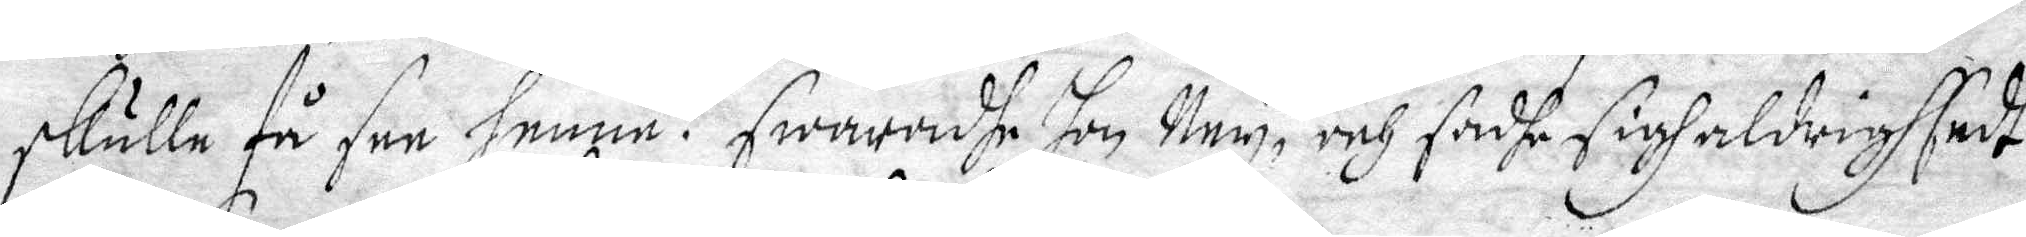skulle få see henne? Swarandhe hon Ney, och sadhe sigh aldrig sedt
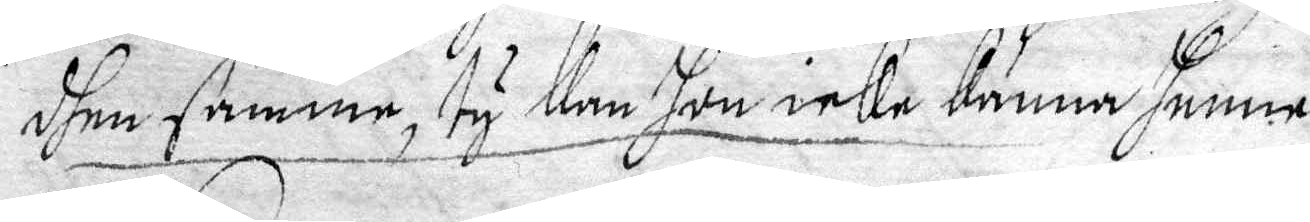dhen samme, ty Kan hon icke Känna henne.
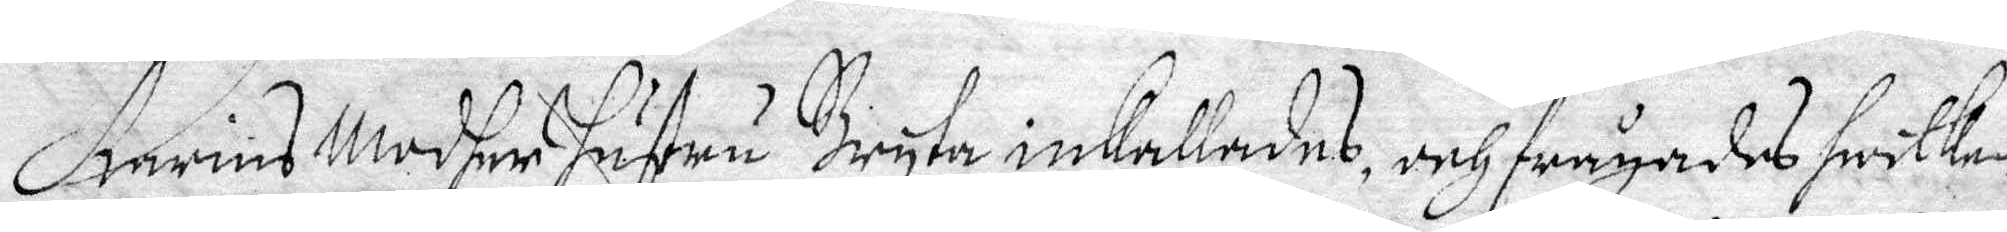Karins Modher hustru Bryta inkallades, och frågades hwilken
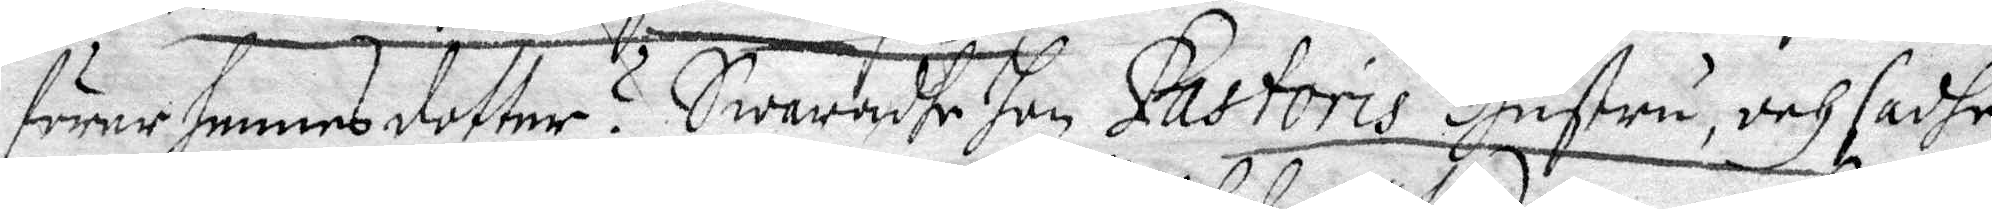förer hennes dotter? Swarandhe hon Pastoris Hustru, och sadhe
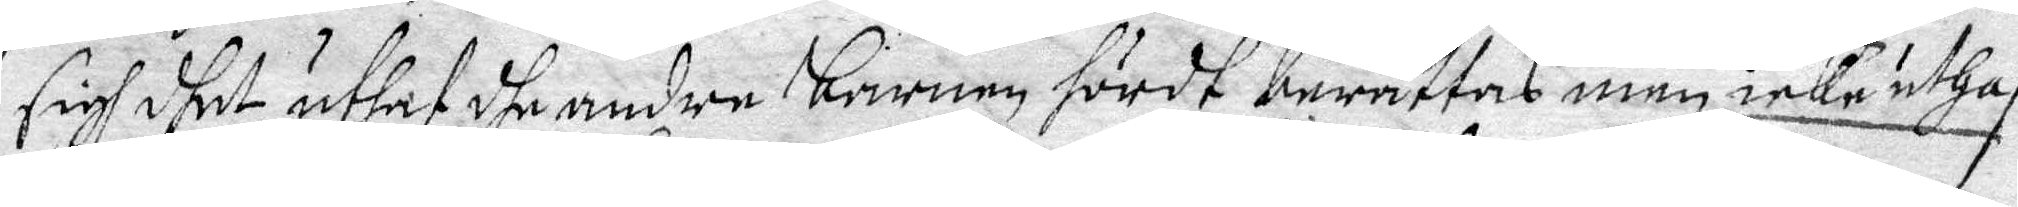sigh dhet uthaf dhe andre barnen hördh berättas men icke uthaf
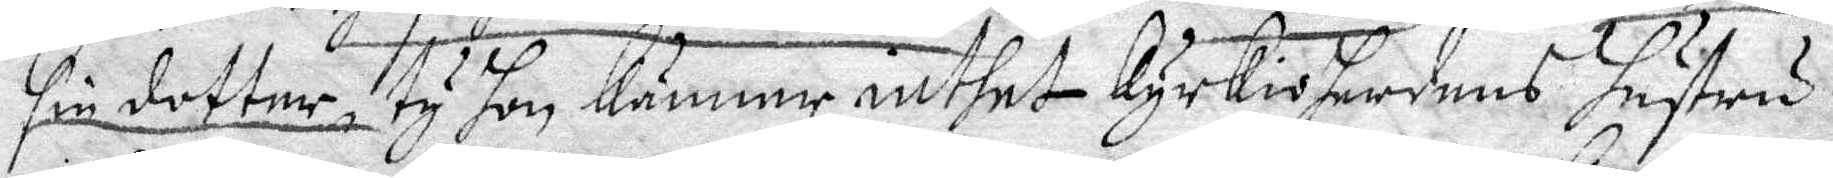sin dotter, ty hon Känner intehet Kyrkioherdens hustru.
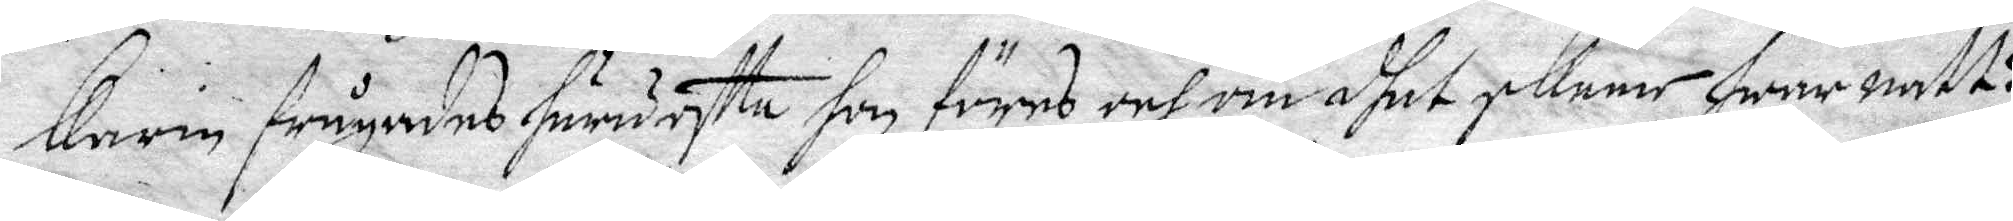Karin frågades huru offta hon föres och om dhet skeer hwar natt?
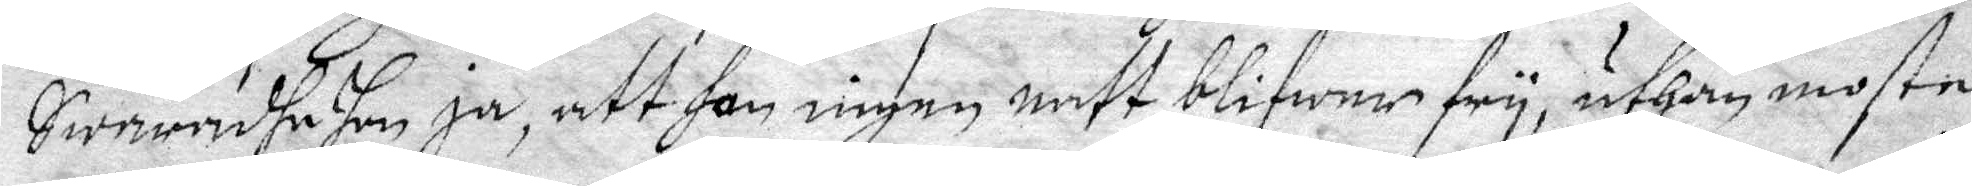Swarandhe hon ja, att hon ingen natt blifwer fry, uthan moste
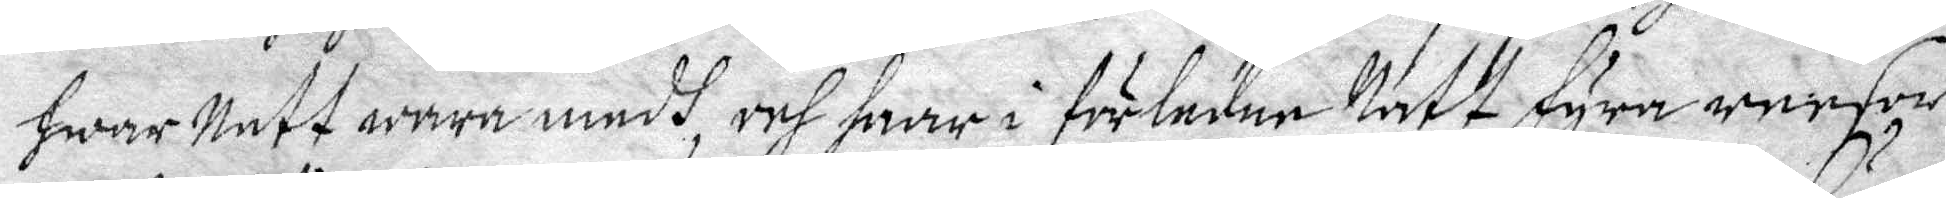hwar natt wara medh, och haar i förledne Natt fyra resor
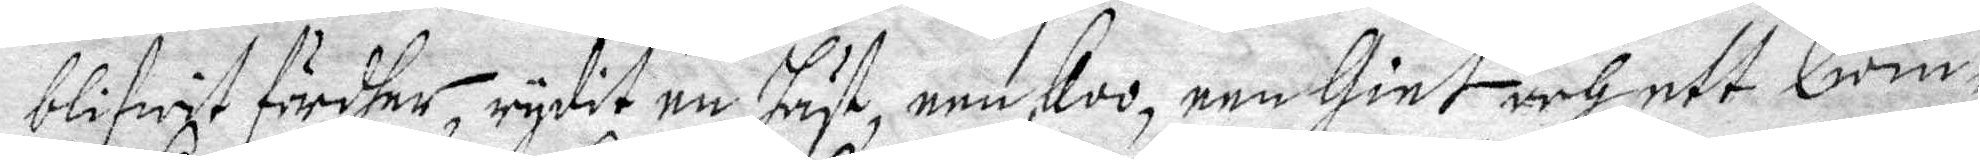blifwit fördhe, rydit en häst, een koo, een Giet och ett Qwin¬
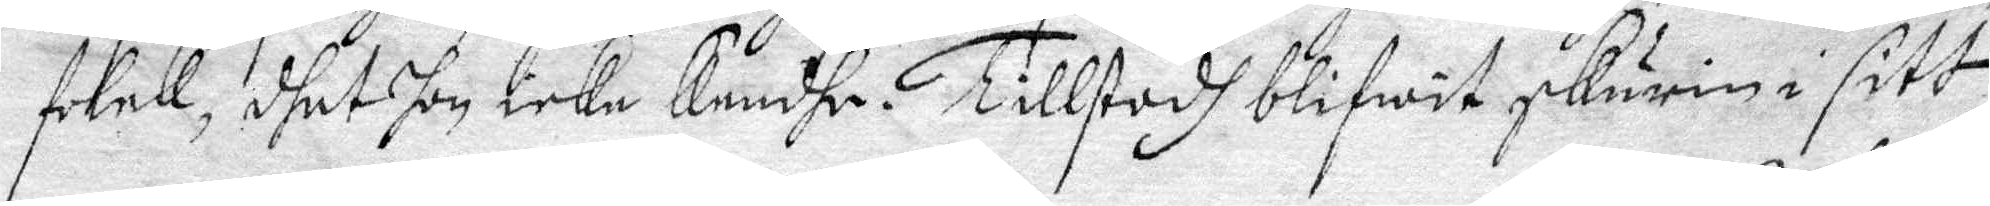folck, dhet hon icke kändhe. Tillstodh blifwit skurin i sitt
